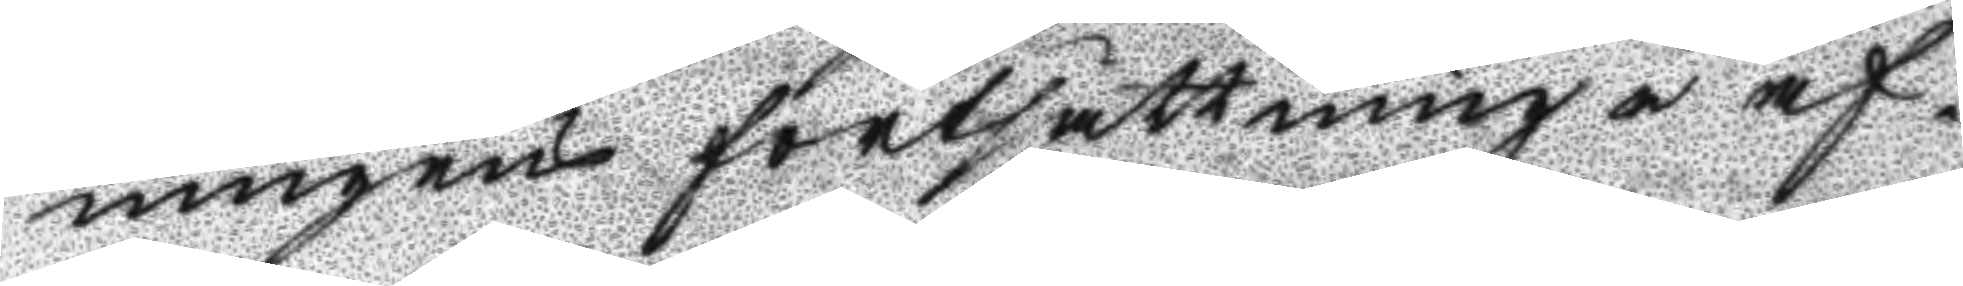ningens fortsättning i af¬
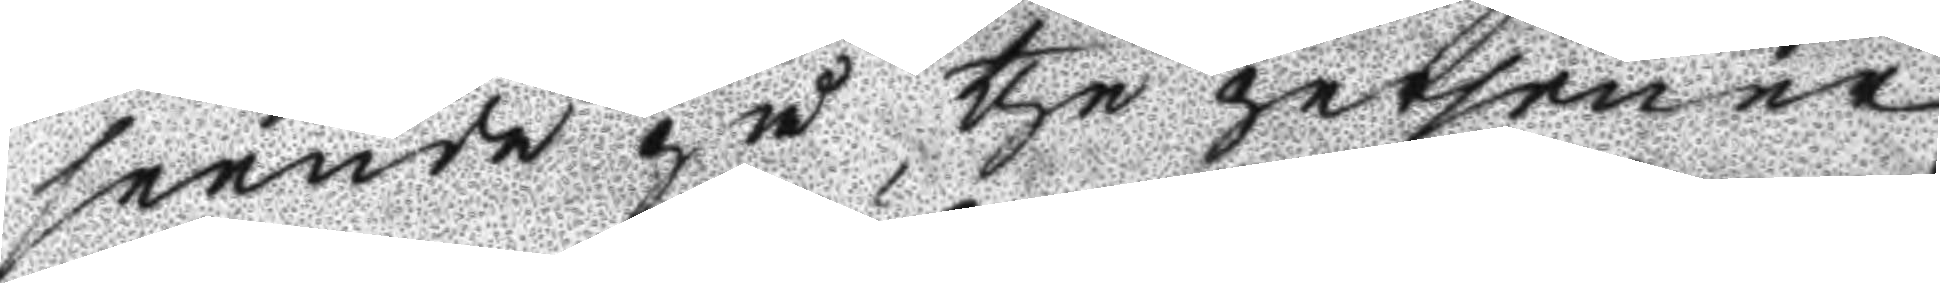seende på the personer
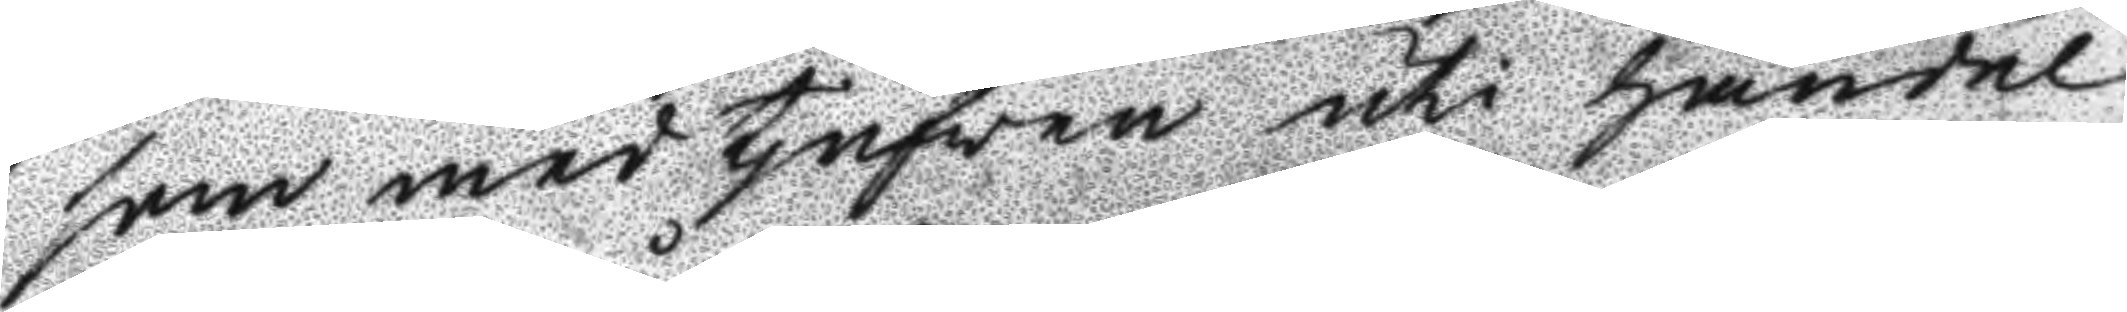som med tjufven uti handel
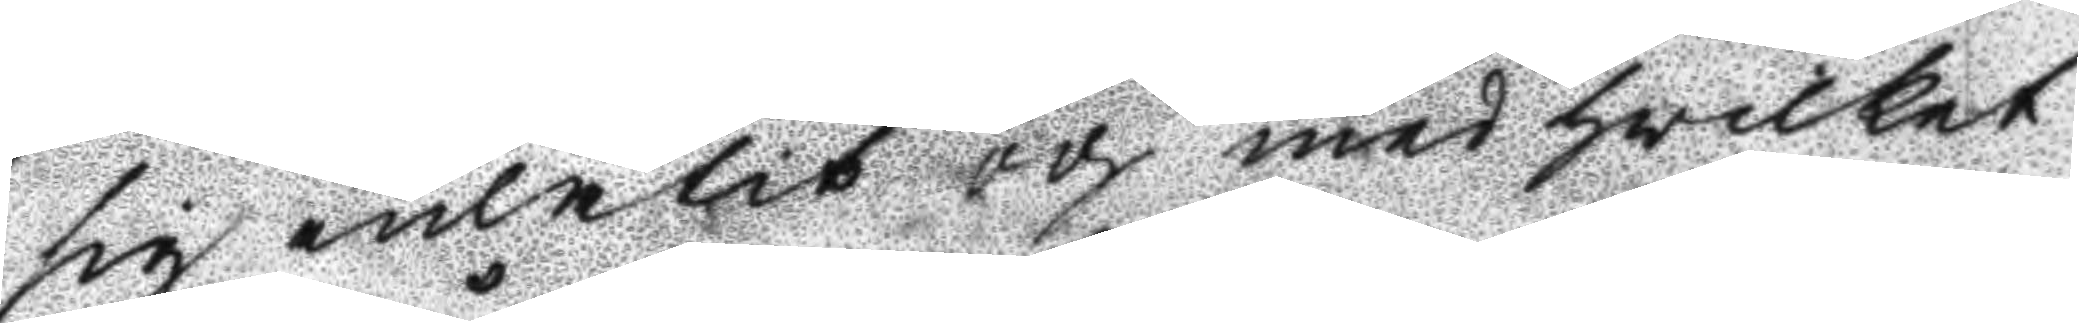sig inlåtit och med hwilket
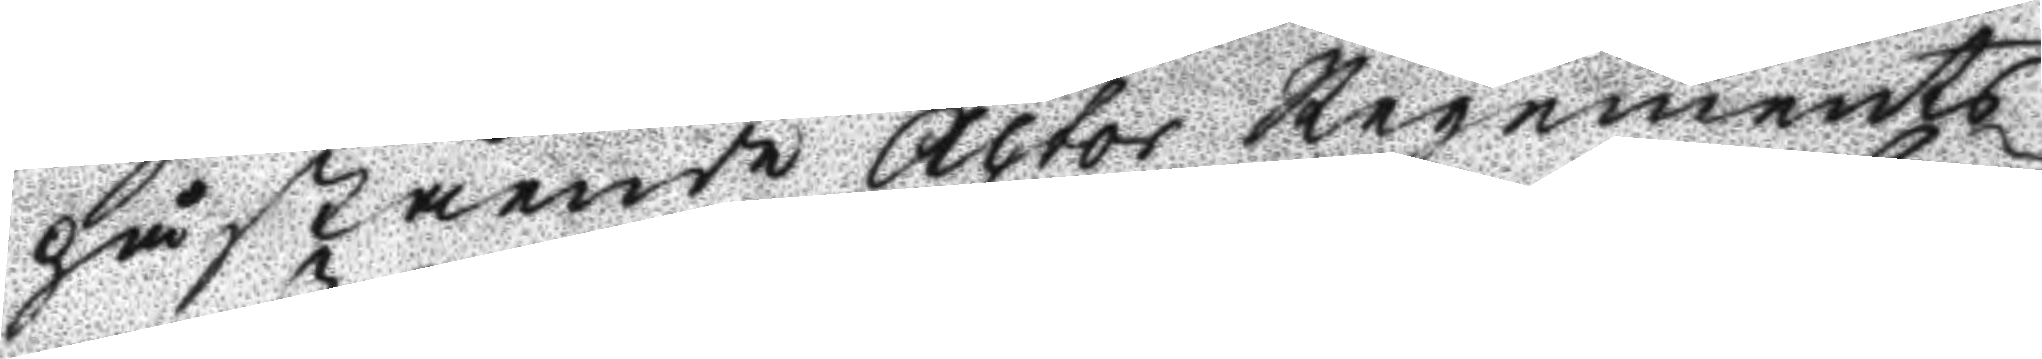påstående Actor Regements
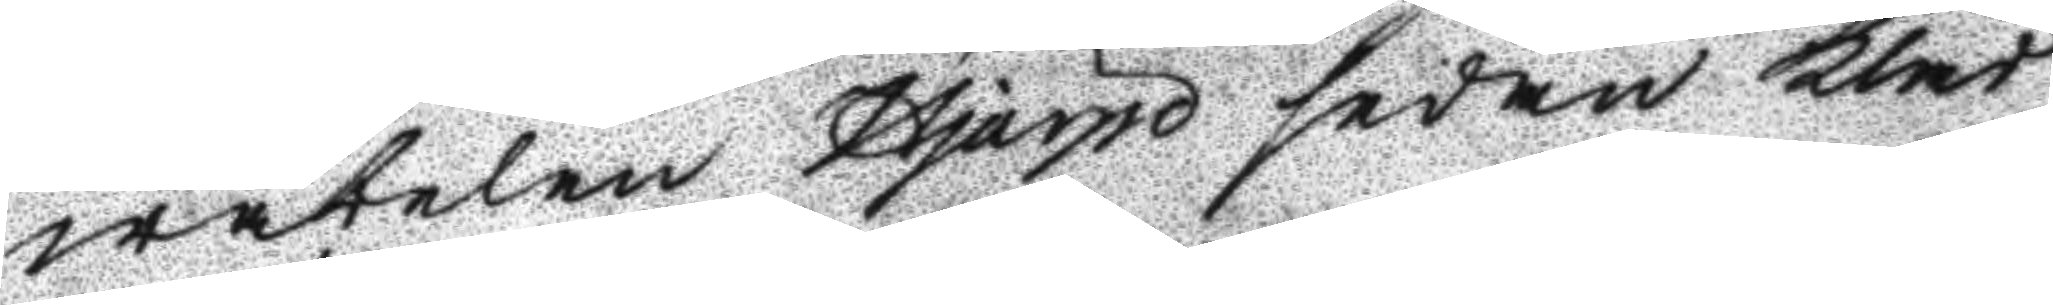wäbelen Hjärpe sedan Kläd¬
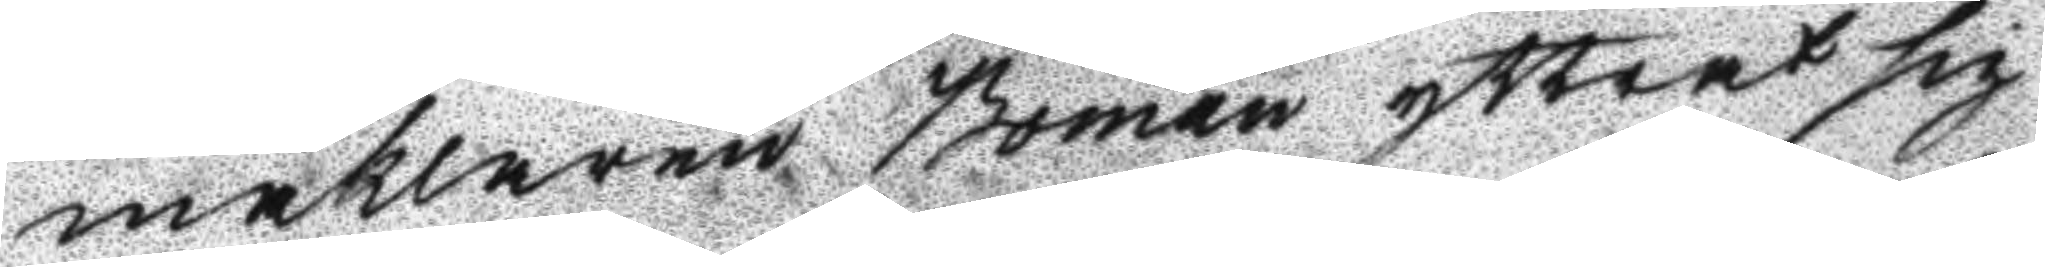mäklaren Boman yttrat sig
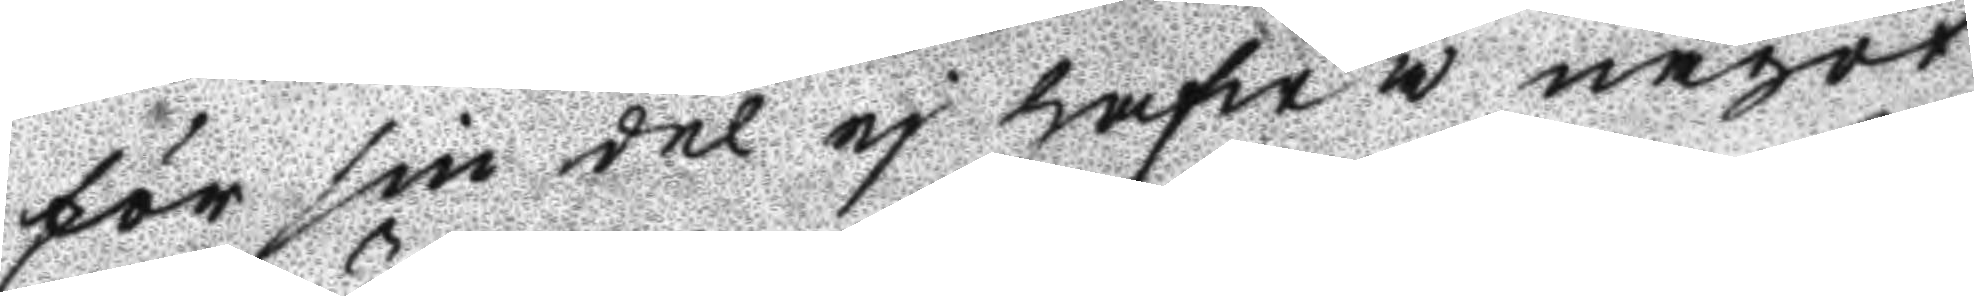för sin del ej hafwa något
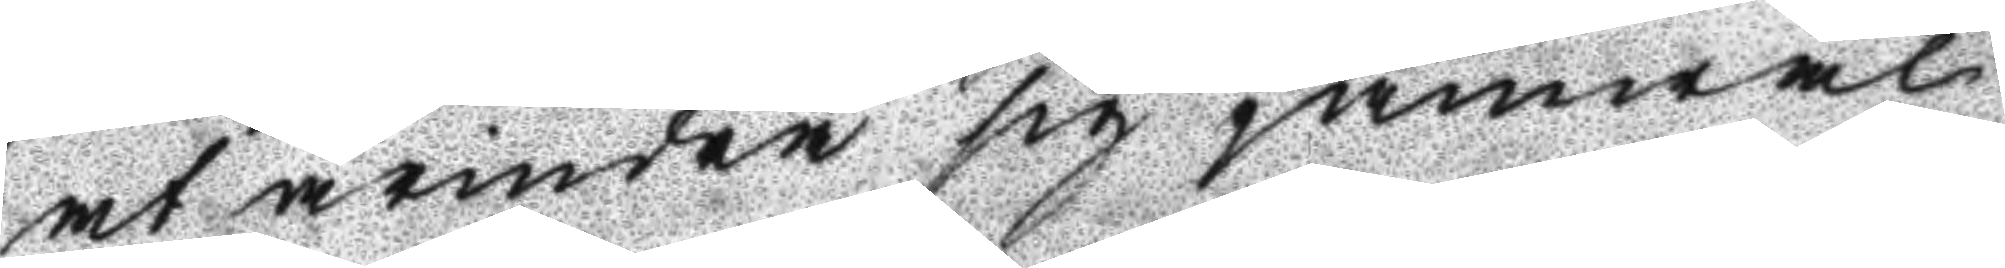at ärindra sig jämwäl
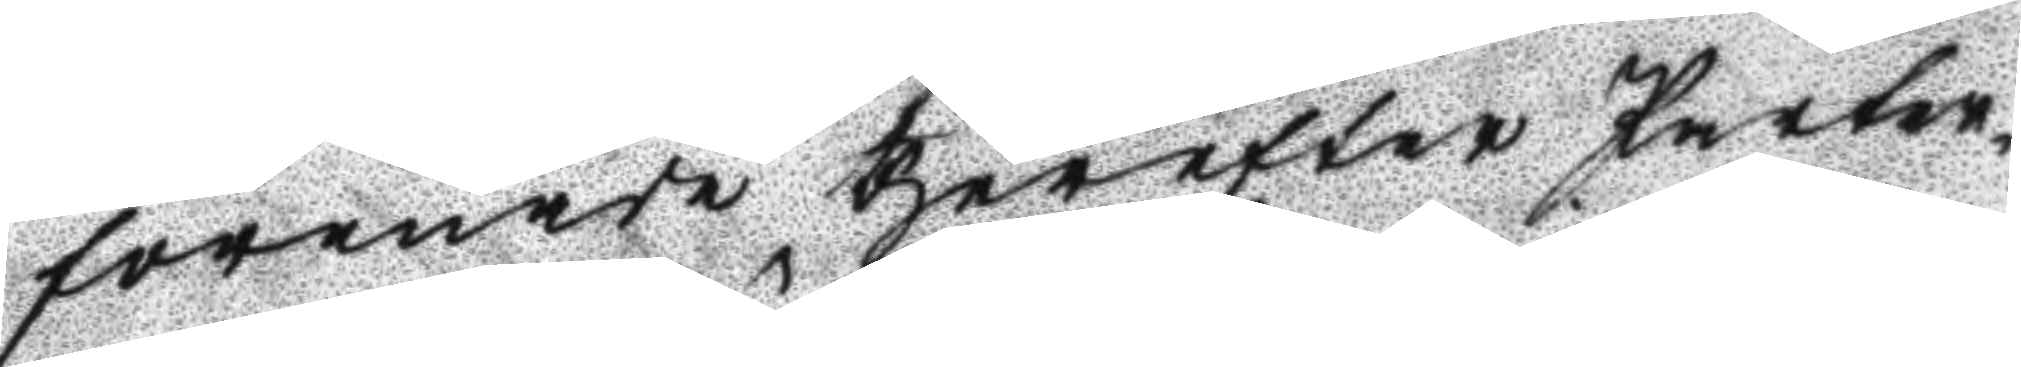förenade therefter Parter¬
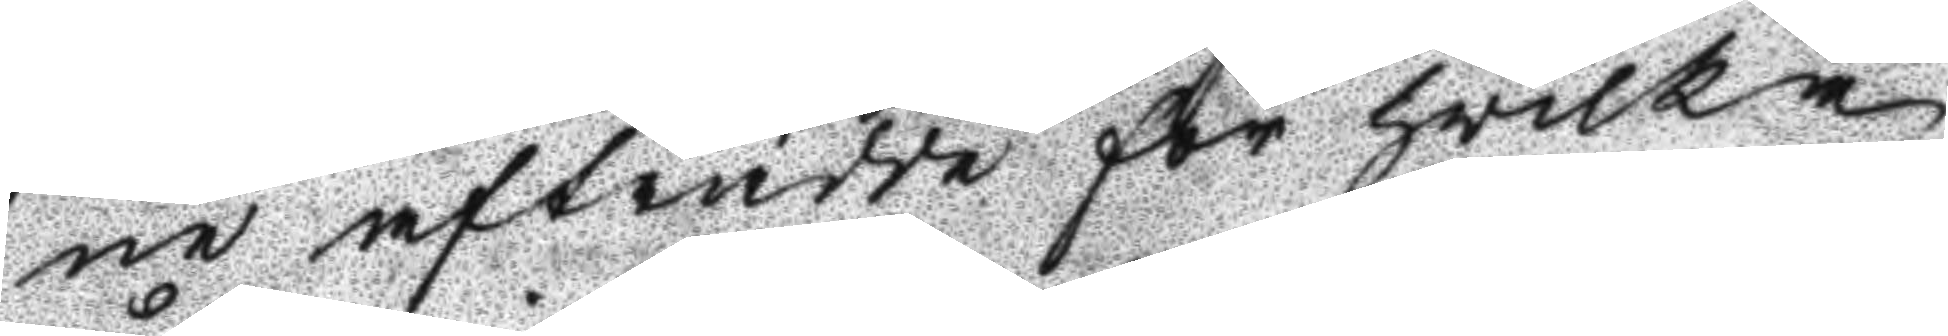ne afträdde för hwilka
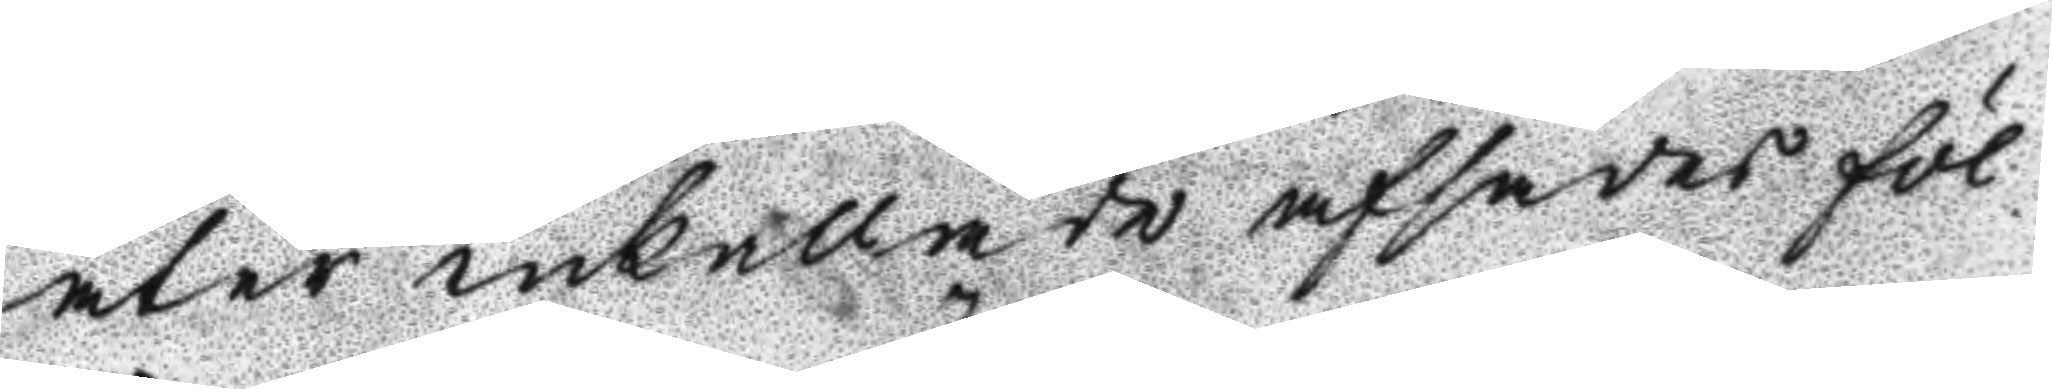åter inkallade afsades föl¬
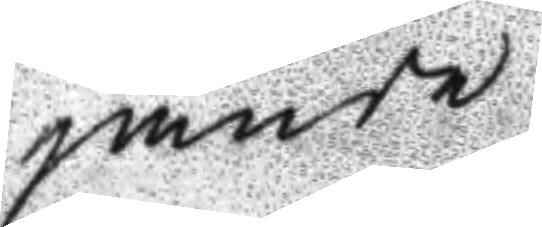jande
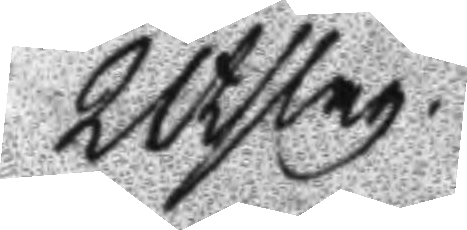Utslag.
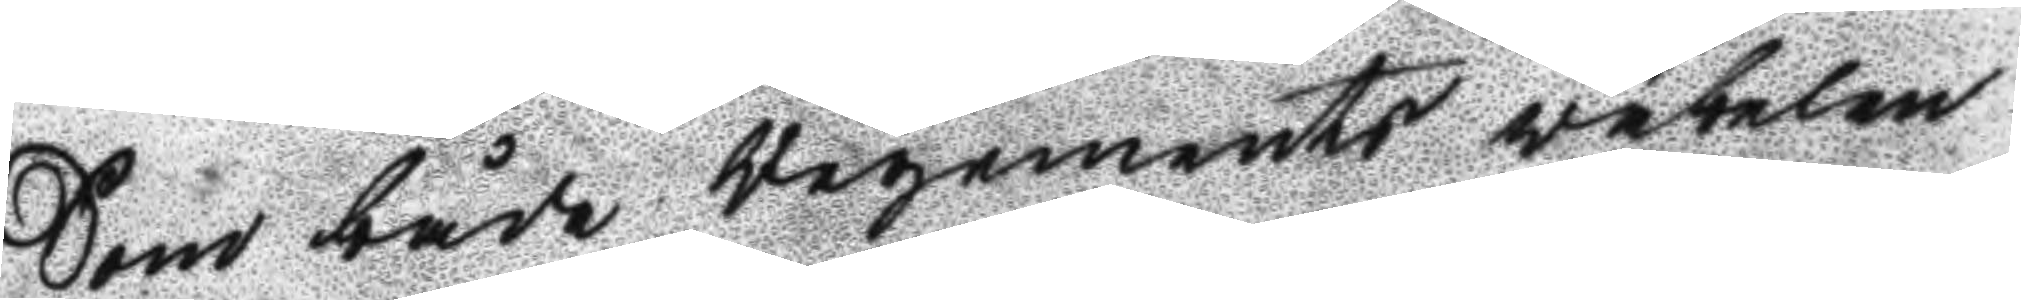Som både Regemnets väbelen
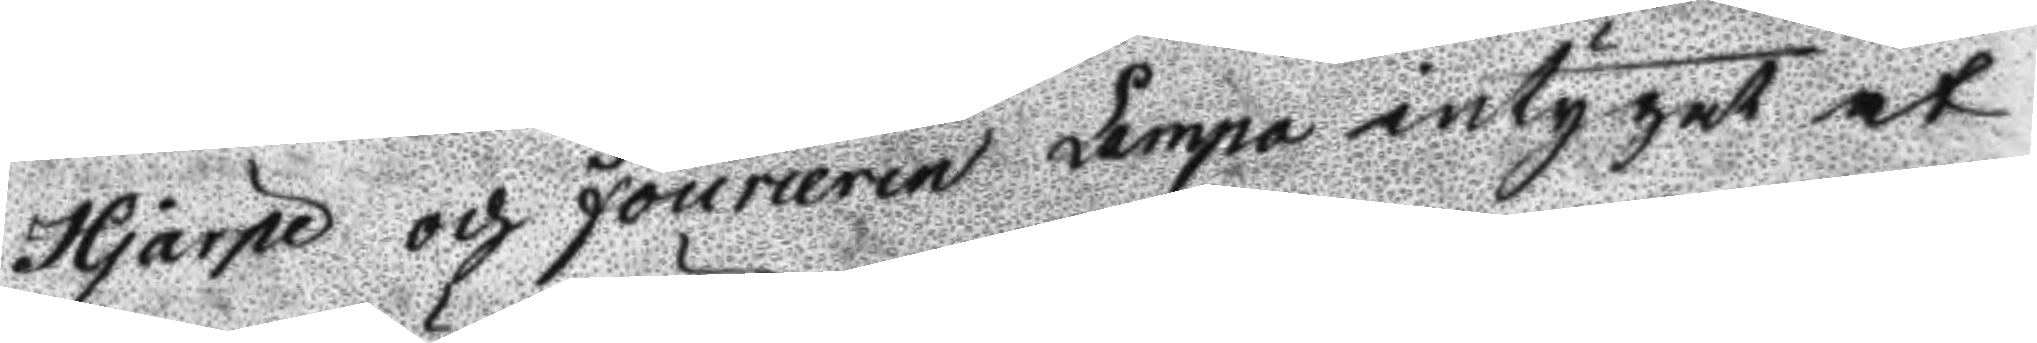Hjärpe och Fourieren Lampo intygat at 
